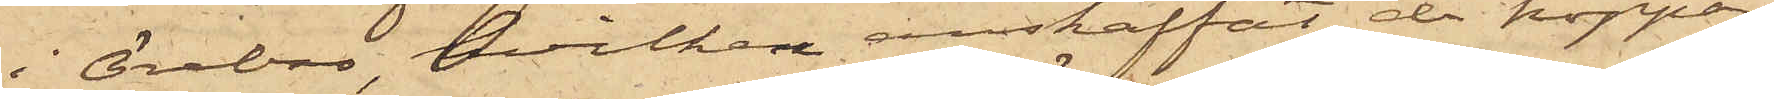i Örebro, hvilken anskaffat de koppar¬
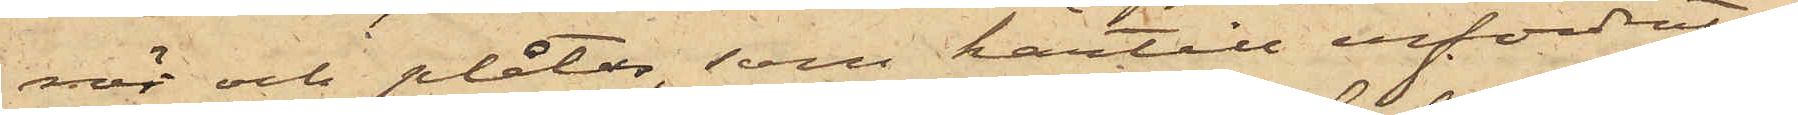rör och plåtar, som härtill erfordrats;
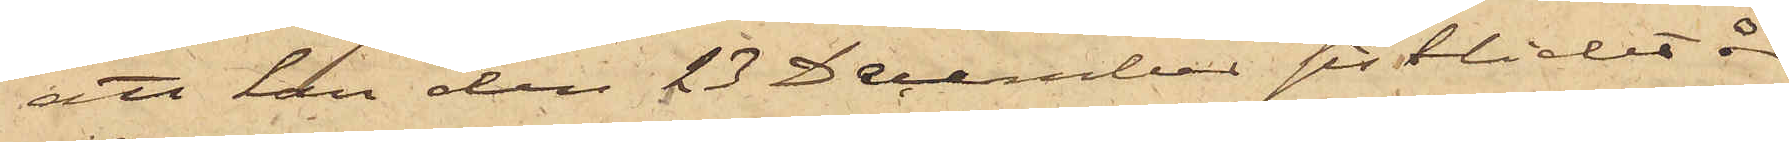att han den 23 December förlidet år
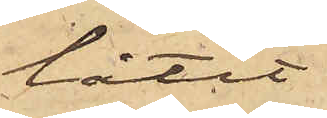låtit
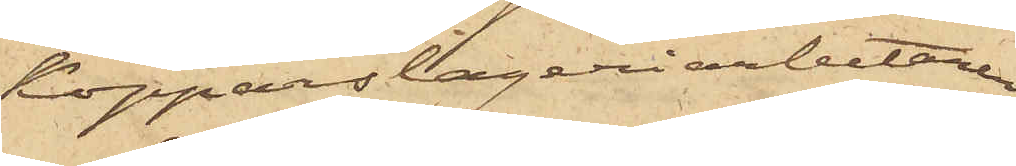kopparslageriarbetaren
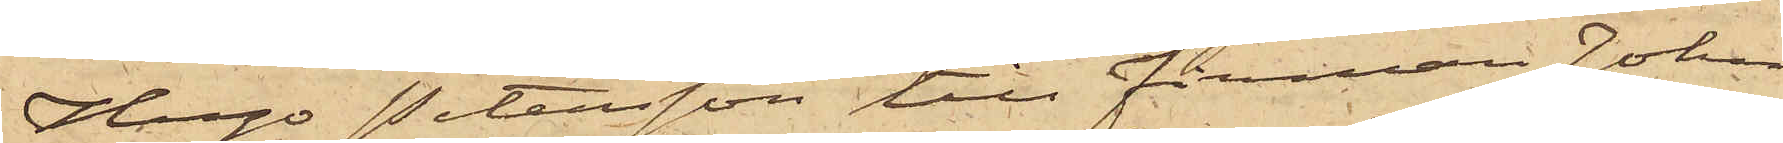Hugo Petersson till firman Johan
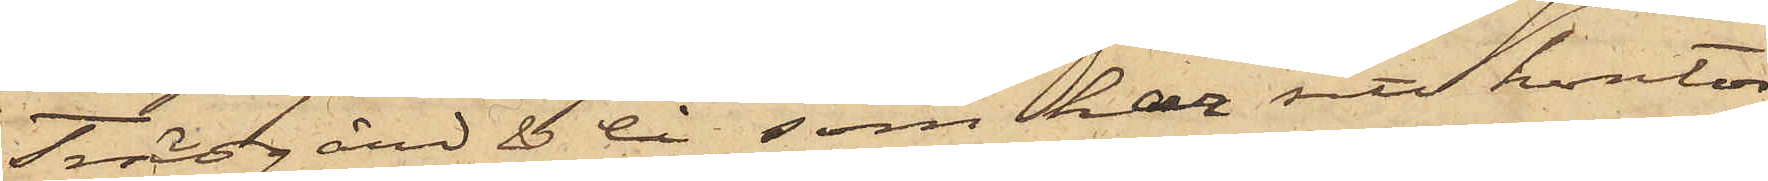Trägård & Co, som har sitt kontor
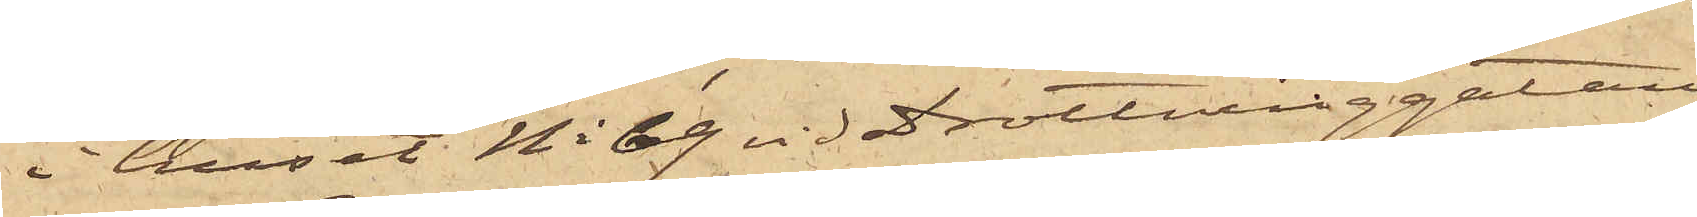i huset No 69 vid Drottninggatan,
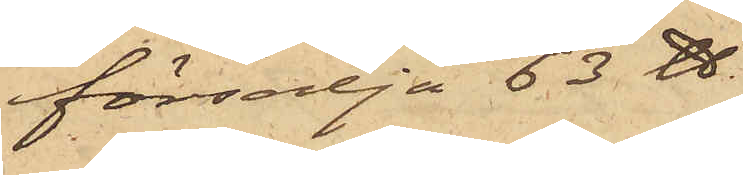försälja 63 ℔
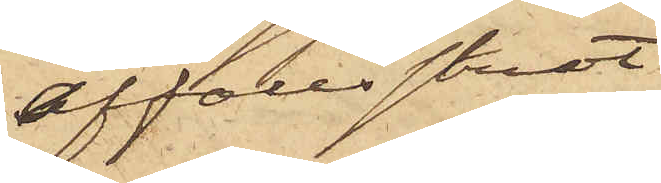affallsskrot
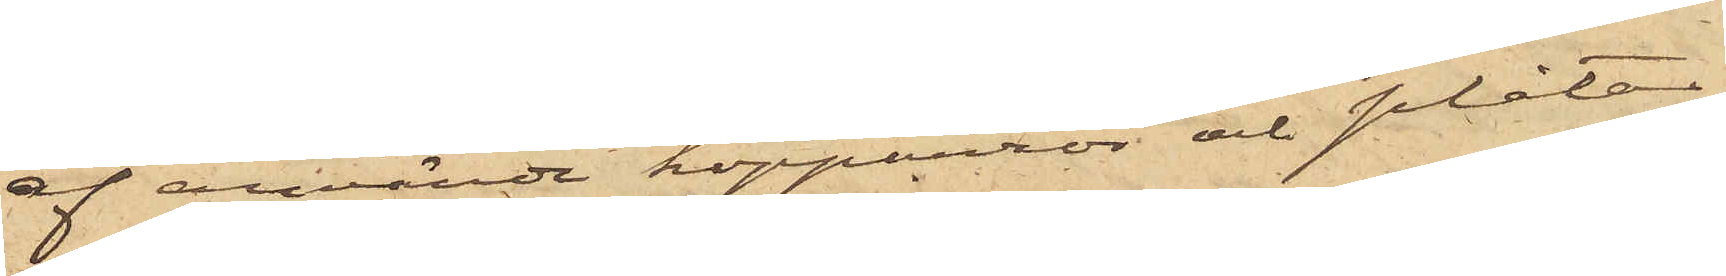af använda kopparrör och plåtar,
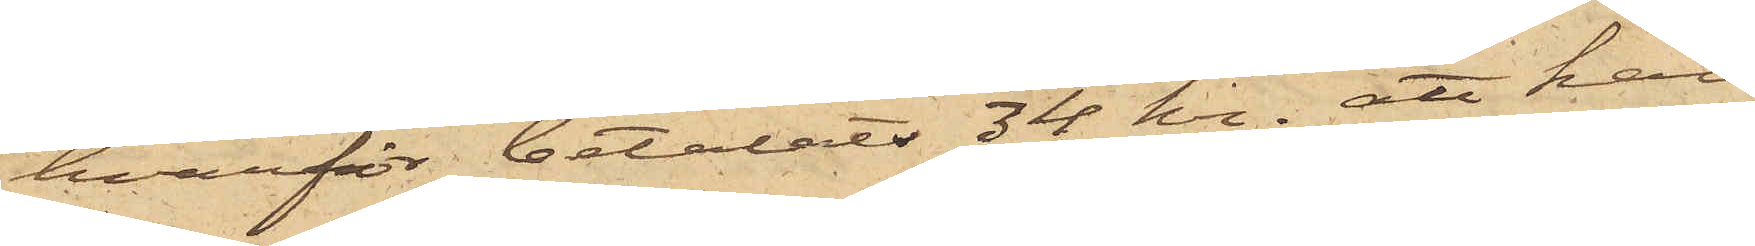hvarför betalats 34 kr; att han
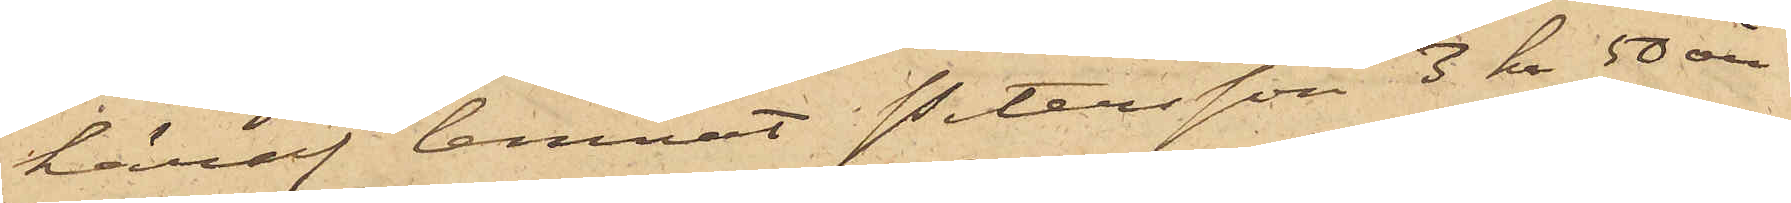häraf lemnat Petersson 3 kr 50 öre
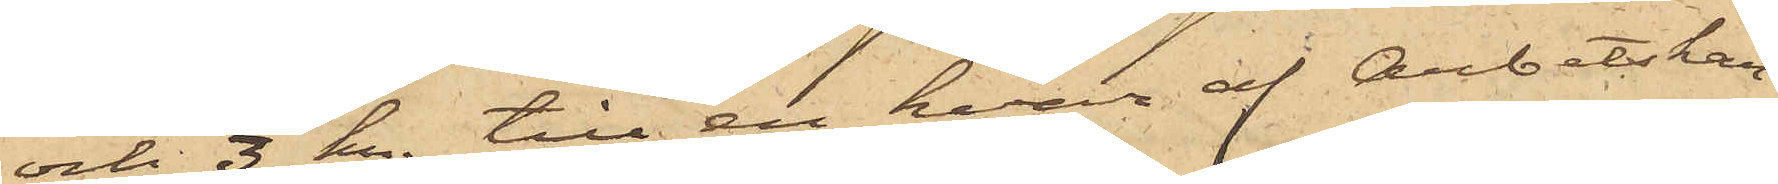och 3 kr. till en hvar af Arbetskar¬
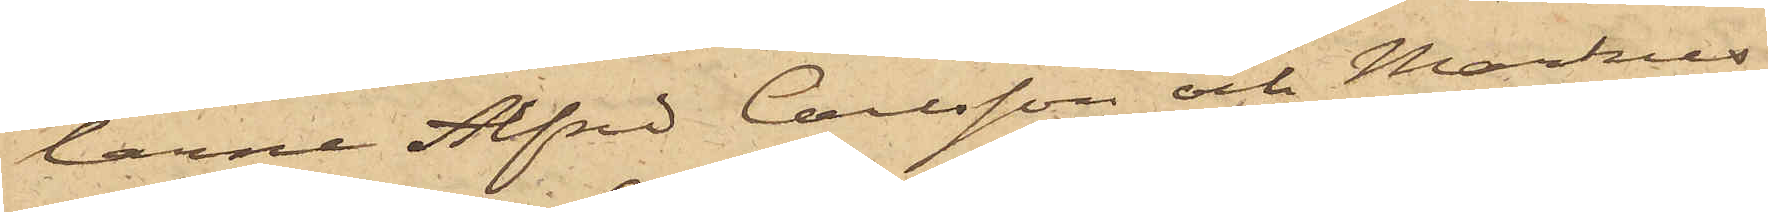larne Alfred Carlsson och Markus
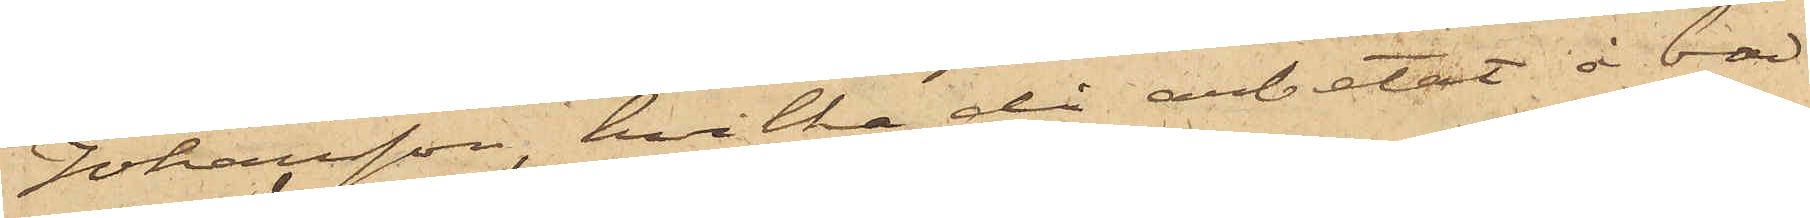Johansson, hvilka då arbetat å bad¬
